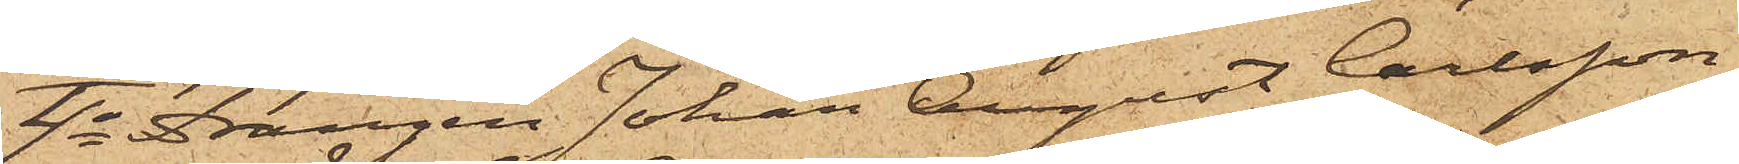4o Drängen Johan August Carlsson,
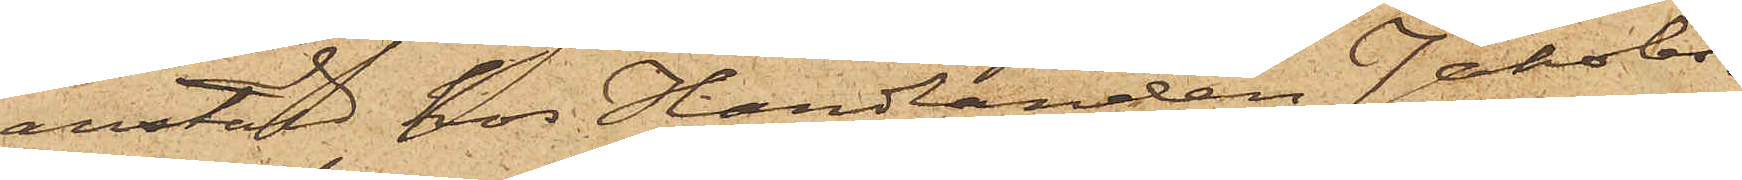anstäld hos Handlanden Jakobs¬
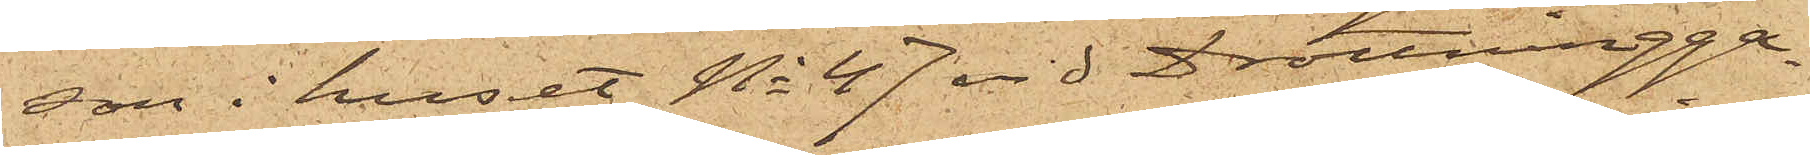son i huset No 47 vid Drottningga¬
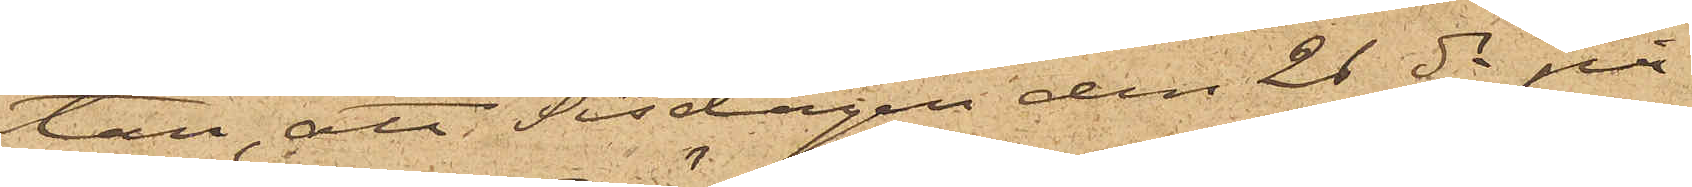tan, att Tisdagen den 26 ds på
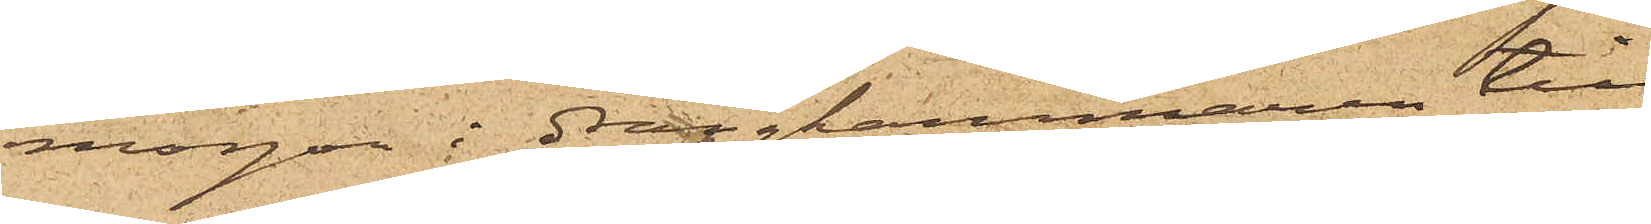morgon i drängkammaren till
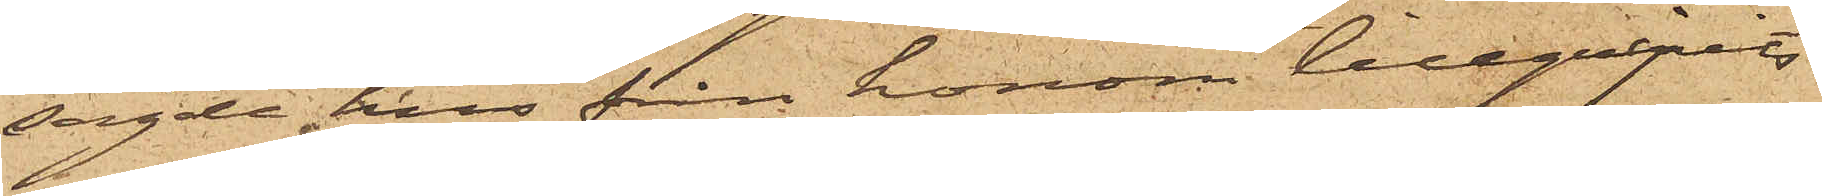sagde hus från honom tillgripits
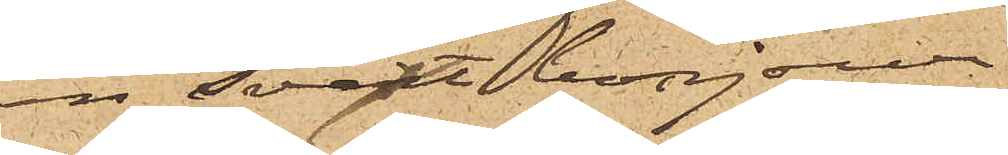en svart bonjour.
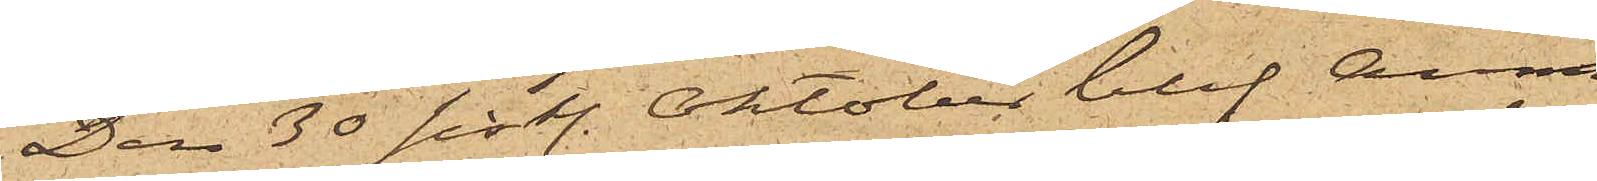Den 30 sistl. Oktober blef Anna
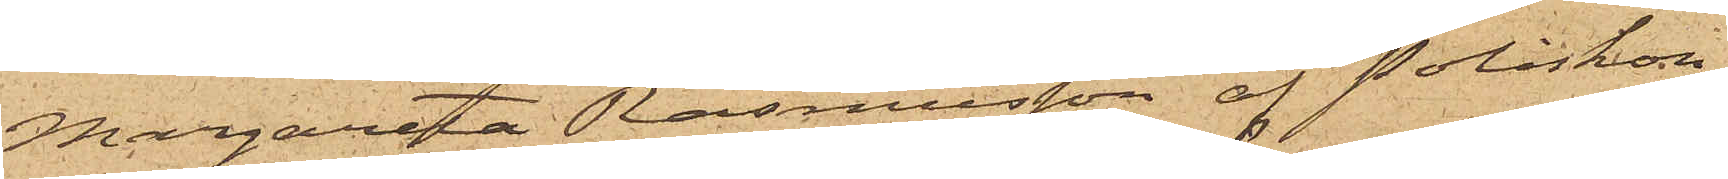Margareta Rasmusson af Poliskon¬
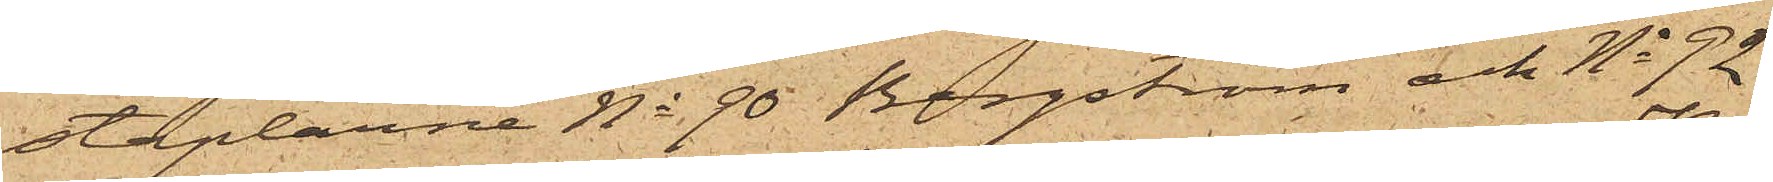staplarne No 90 Bergström och No 92
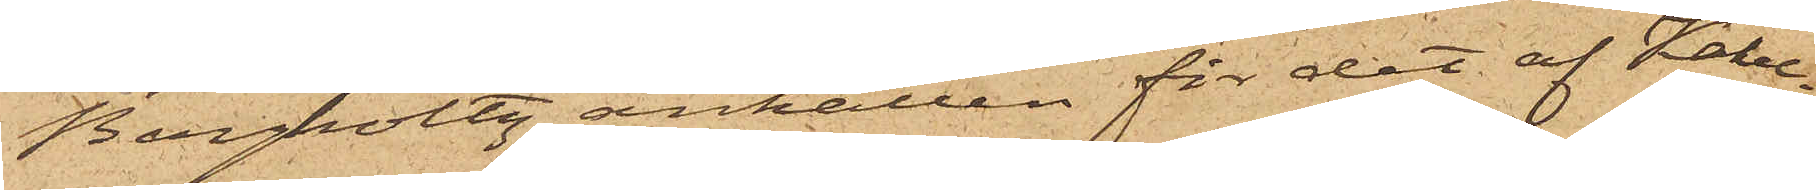Bergholtz anhållen för det af Kakel¬
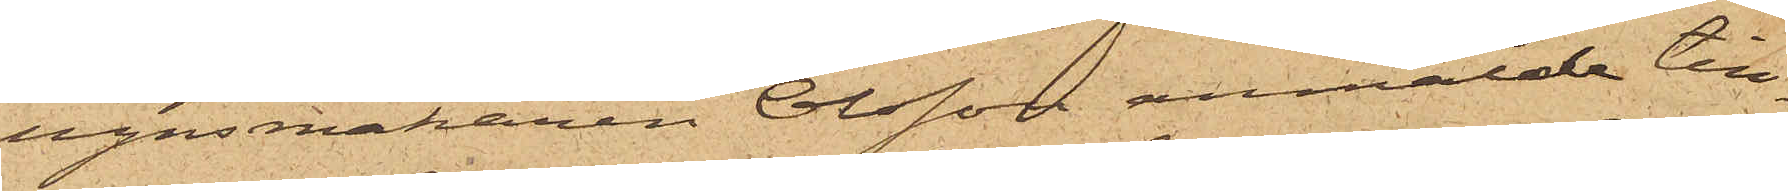ugnsmakaren Olsson anmälde till¬
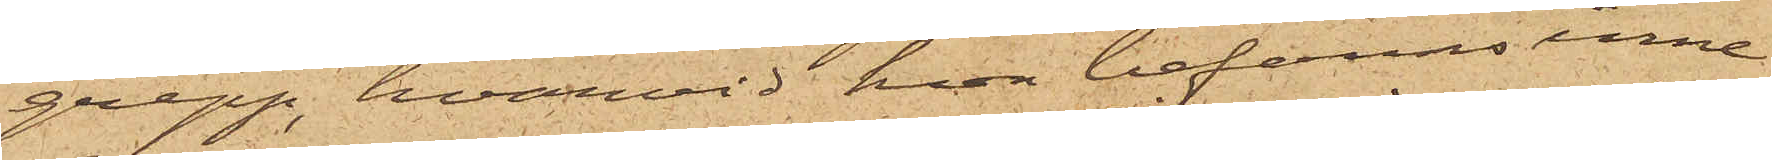grepp, hvarvid hon befanns inne¬
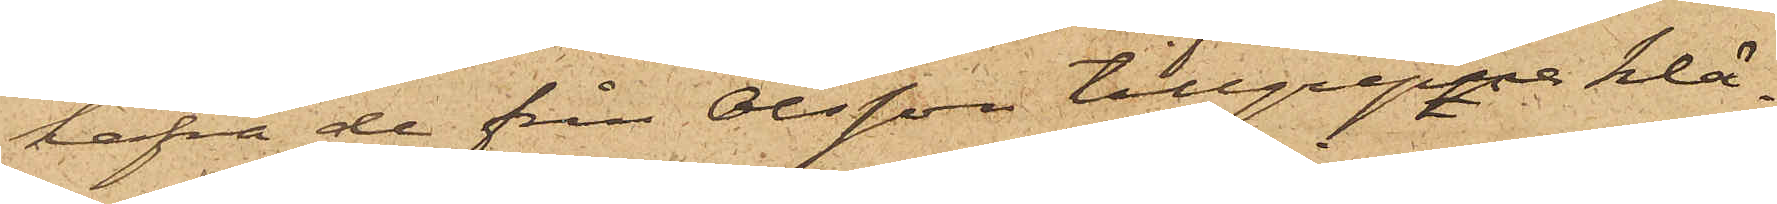hafva de från Olsson tillgripne klä¬
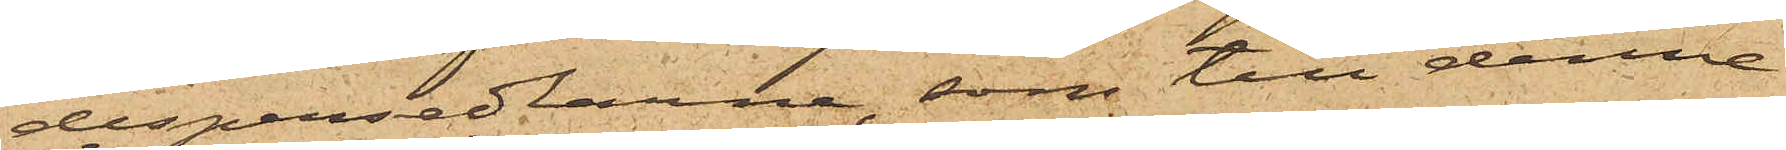despersedlarne, som till denne
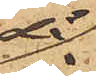då
